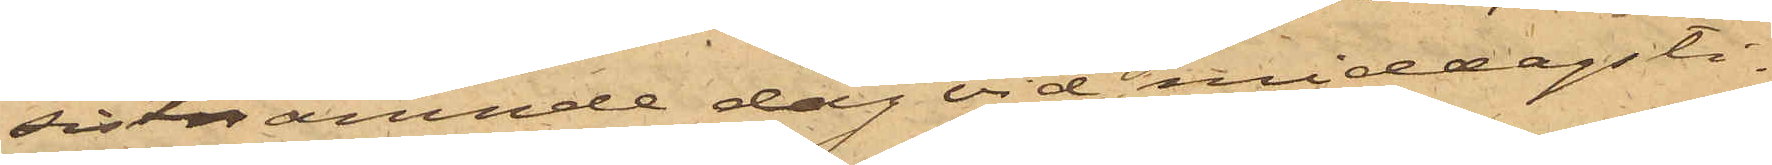sistnämnde dag vid middagsti¬
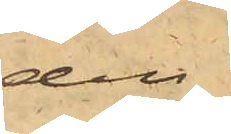den
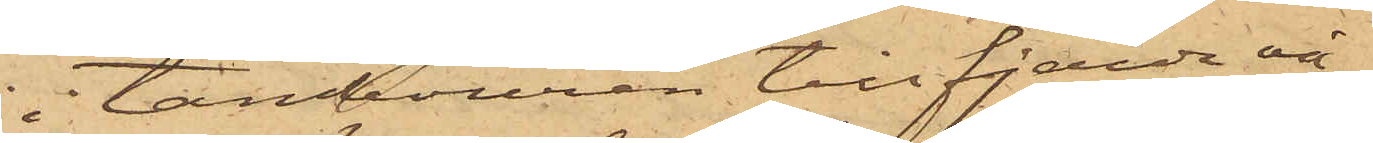i tambouren till fjärde vå¬
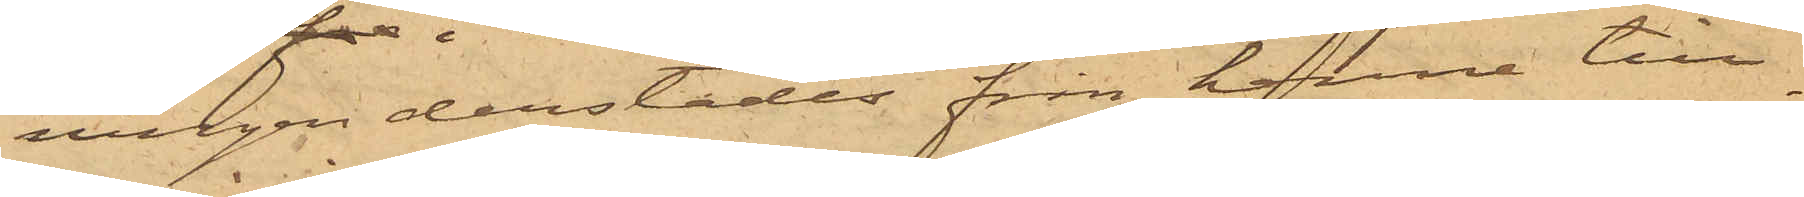ningen derstädes från henne till¬
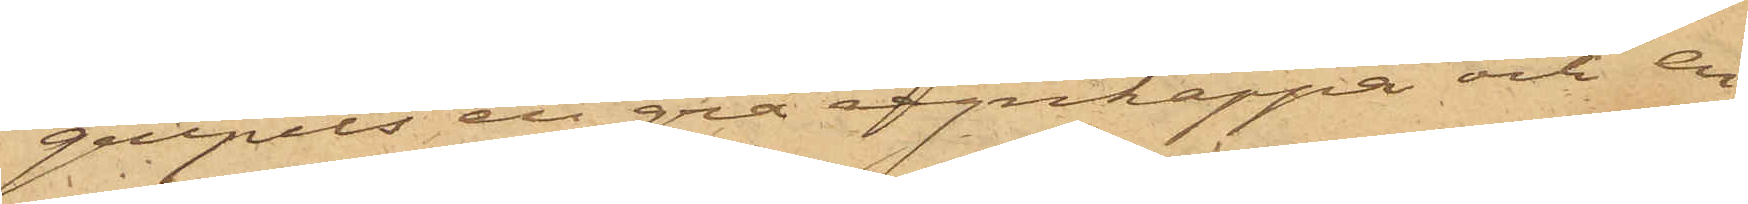gripits en grå regnkappa och en
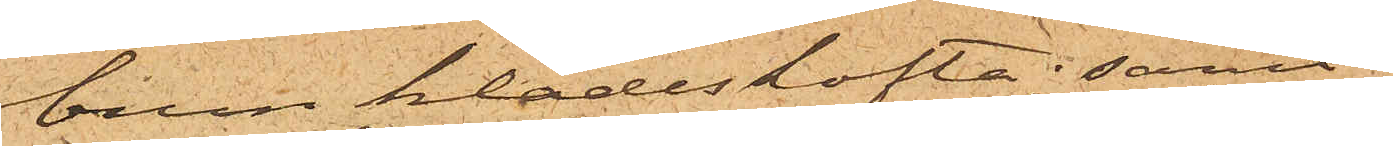brun klädeskofta; samt
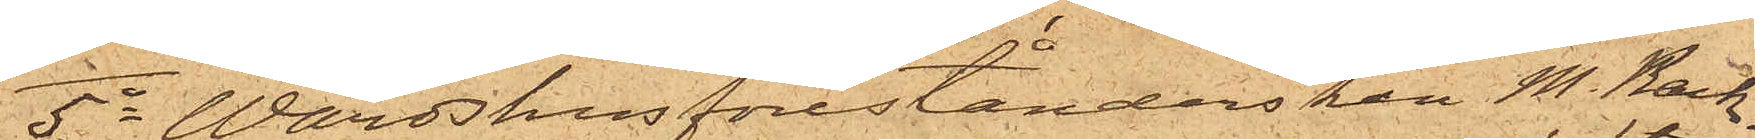5o Wärdshusförestånderskan M. Back¬
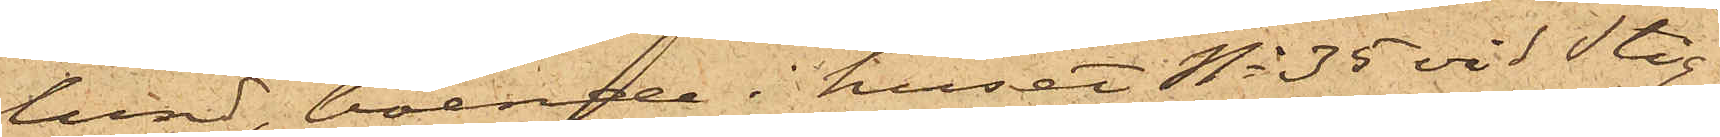lund, boende i huset No 35 vid Stig¬
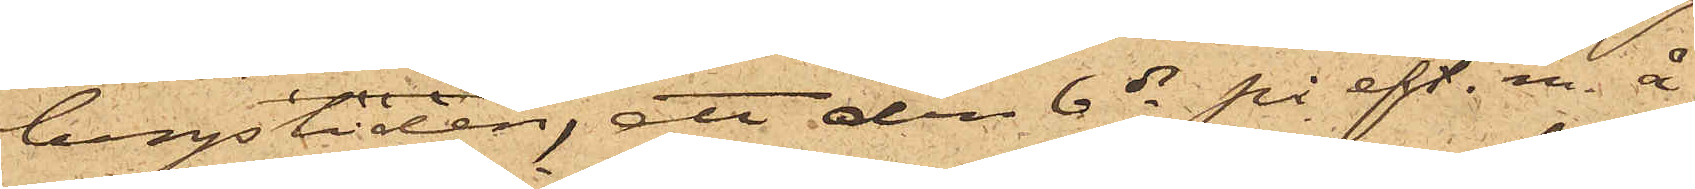bergsliden, att den 6 ds på eft. m. å
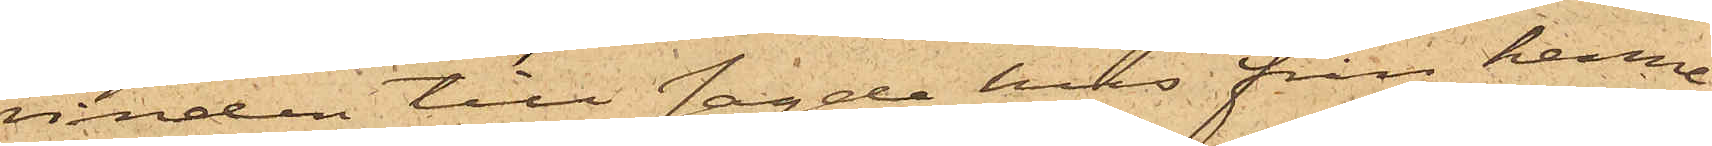vinden till sagde hus från henne
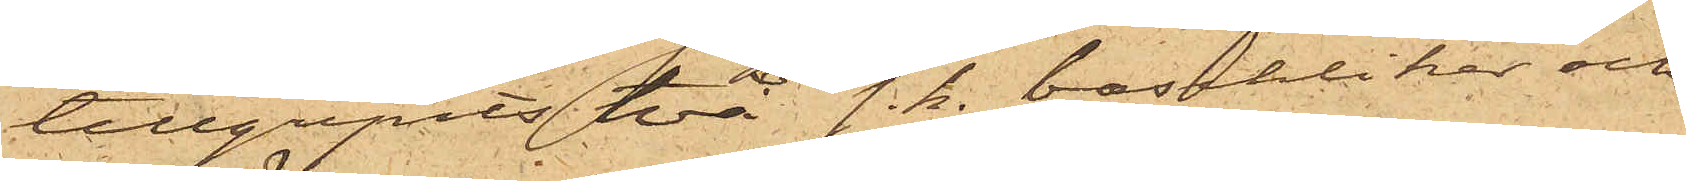tillgripits två s. k. baschliker och
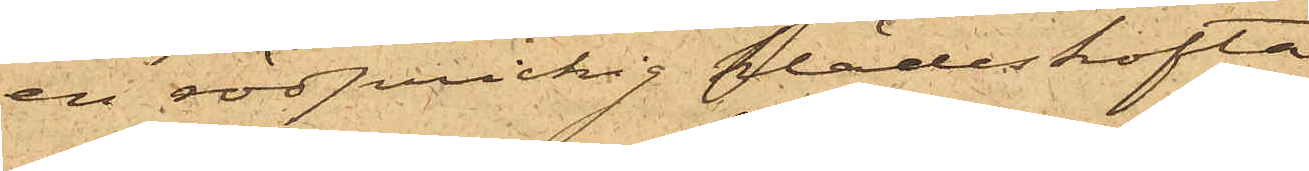en rödprickig klädeskofta.
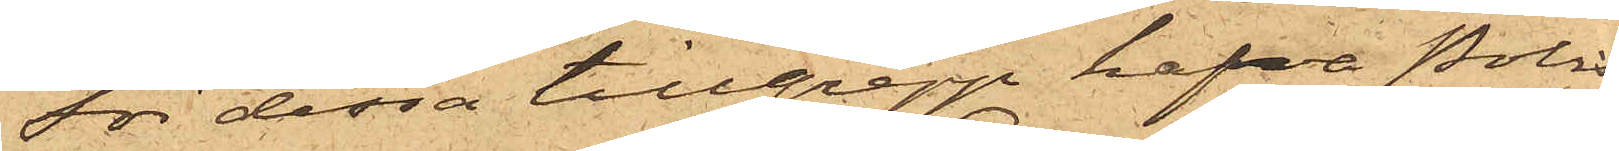För dessa tillgrepp hafva Polis¬
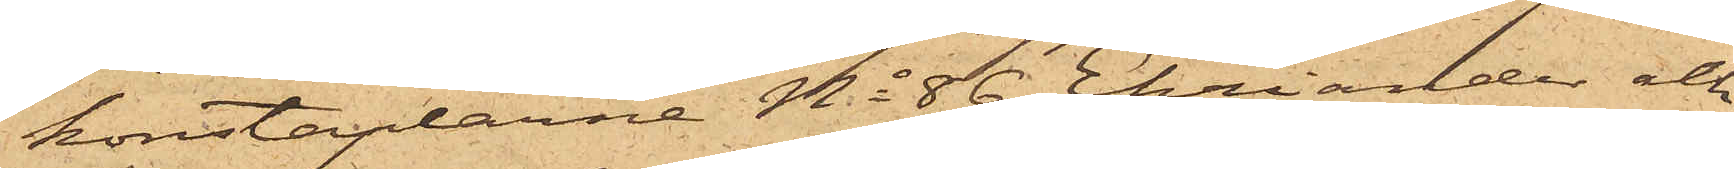konstaplarne No 86 Ehriander och
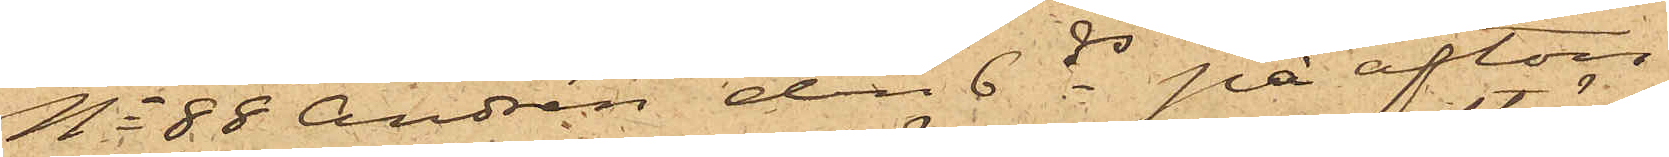No 88 Andrén den 6 ds på afton
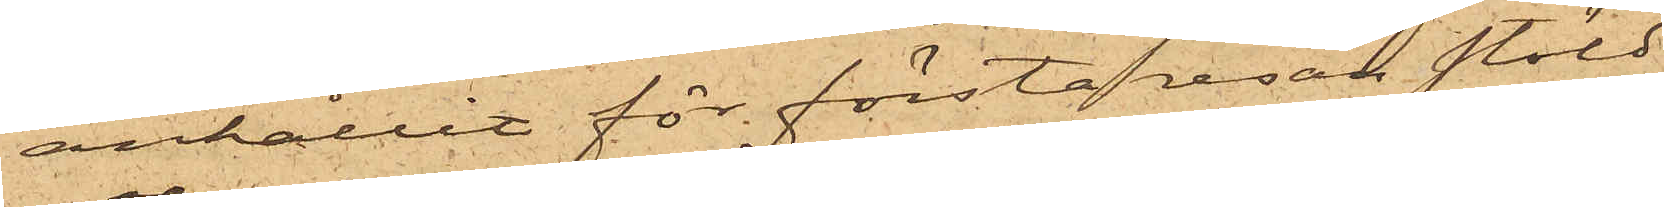anhållit för första resan stöld
